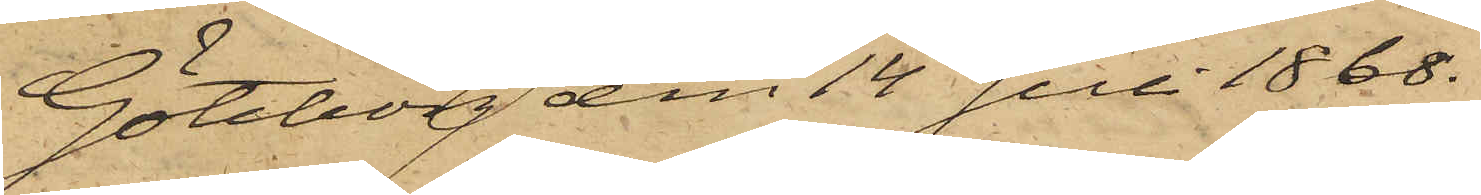Göteborg den 14 Juli 1868.
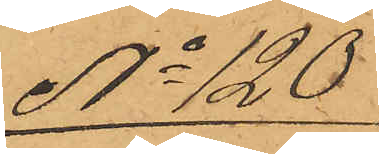No 120
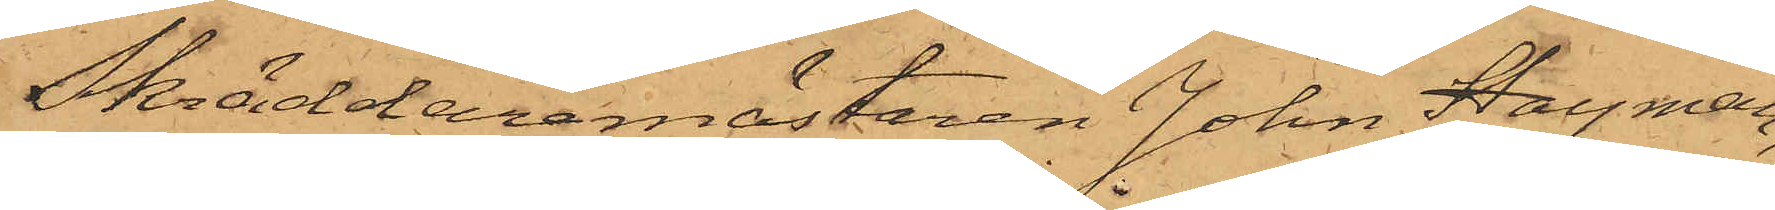Skräddaremästaren Johan Hayman,
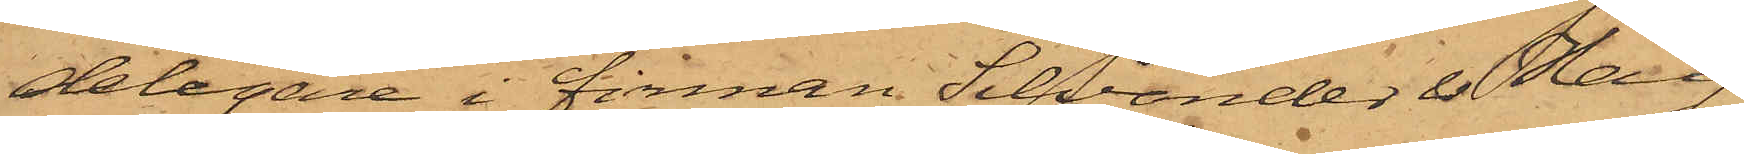delegare i firman Silvander & Hay¬
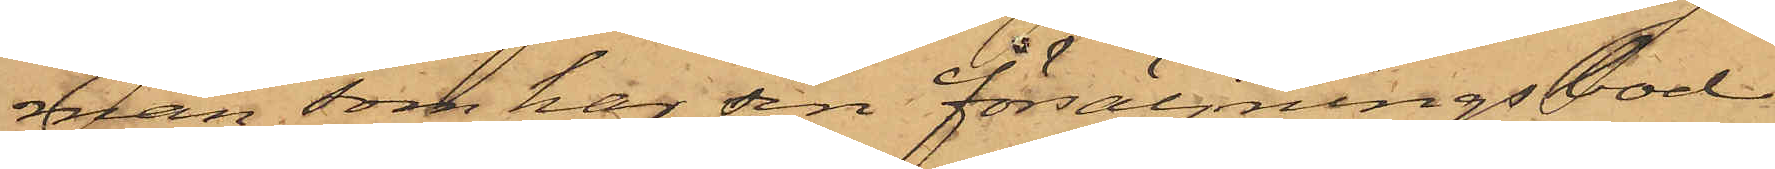man, som har sin försäljningsbod
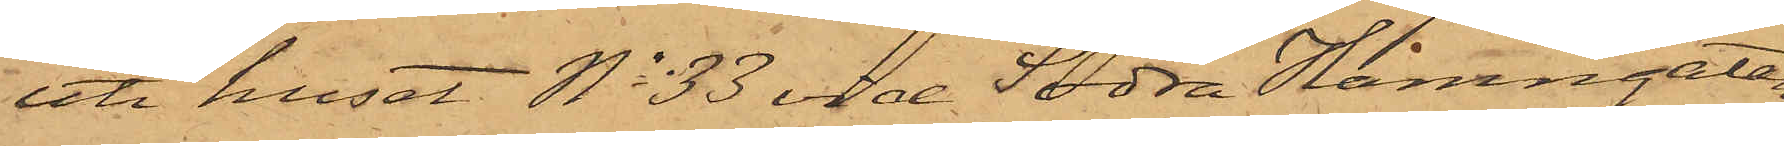uti huset No 33 vid Södra Hamngatan,
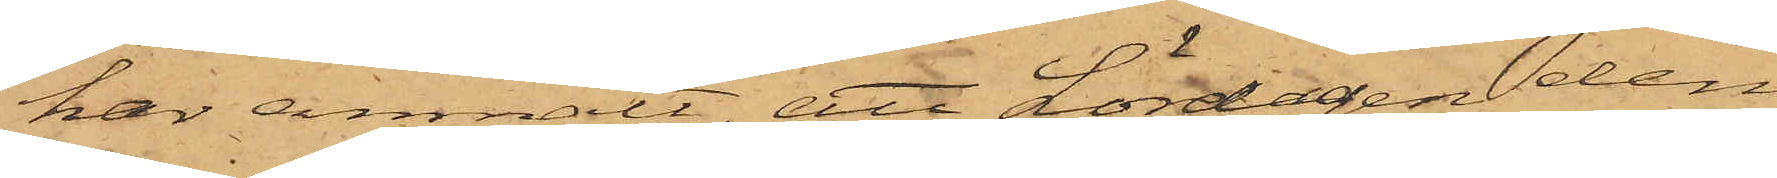har anmält, att Lördagen den
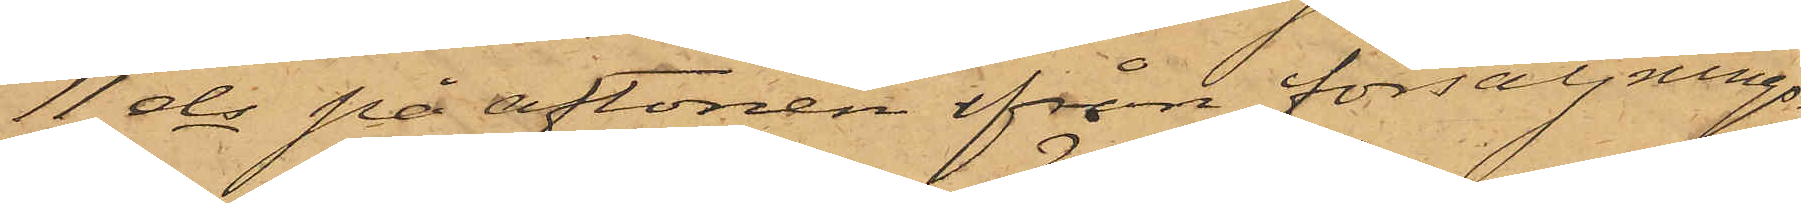11 ds på aftonen ifrån försäljnings¬
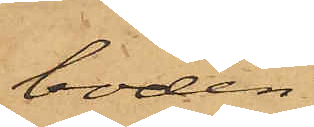boden
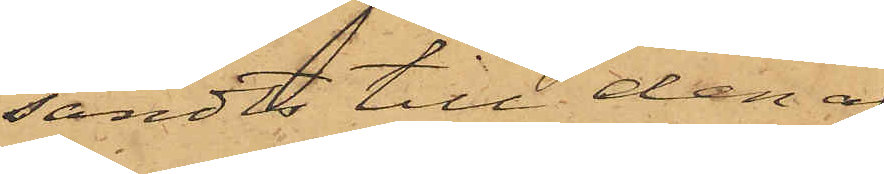sändts till den af
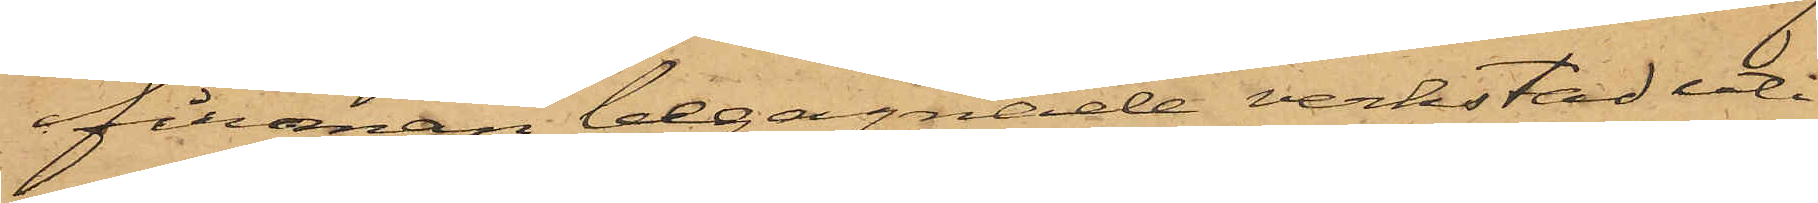firman begagnade verkstad uti
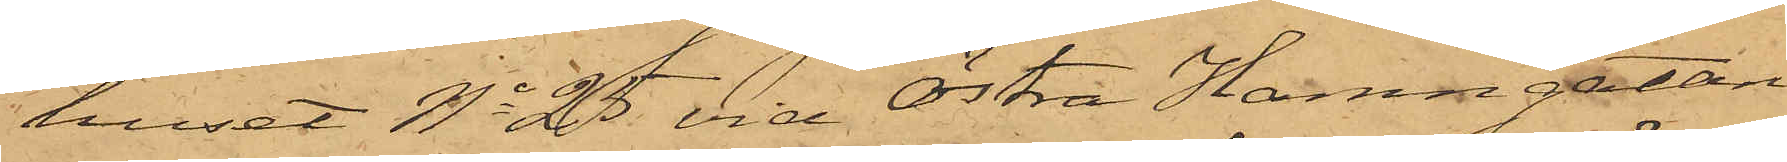huset No 25 vid Östra Hamngatan
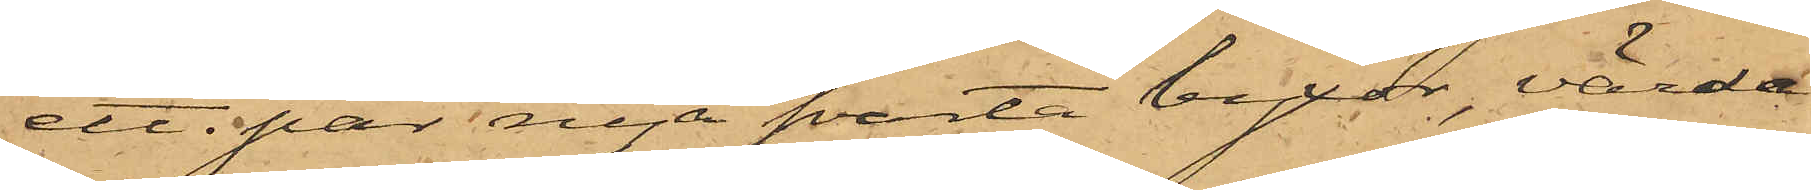ett par nya svarta byxor, värda
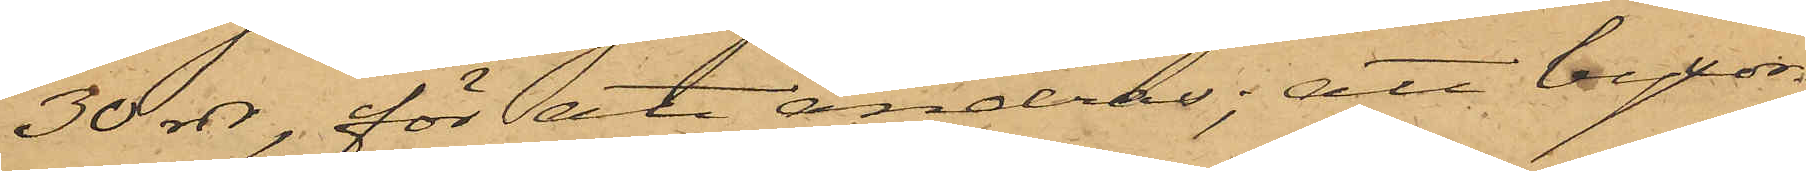30 rdr, för att ändras; att byxor¬
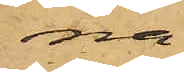na
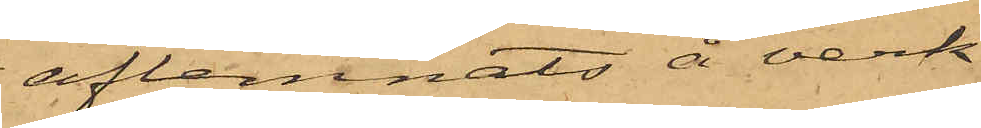aflemnats å verk¬
